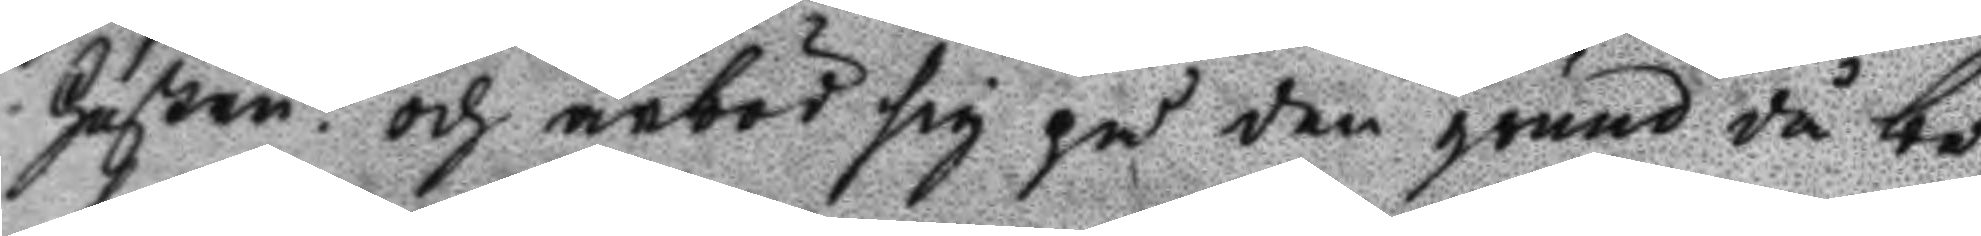hustru? och ärböd sig på den grund då be¬
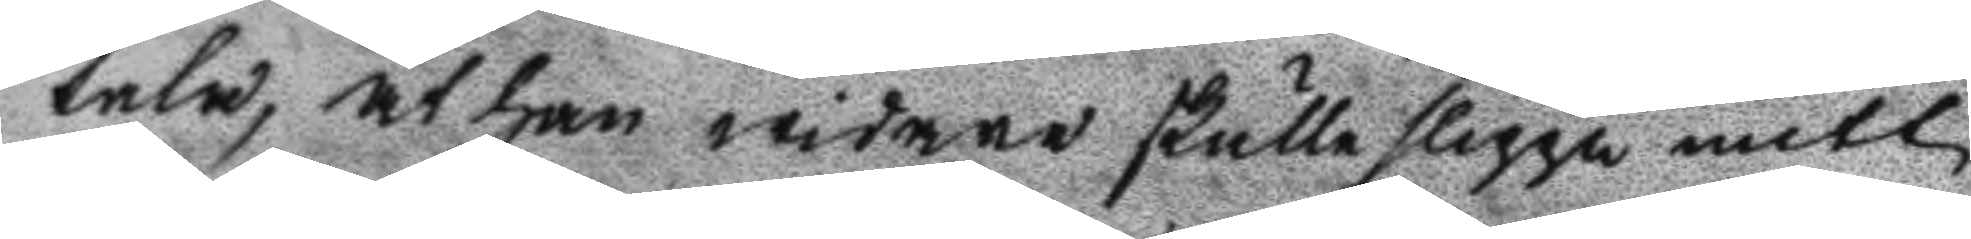tala, at han widare skulle slippa mitt
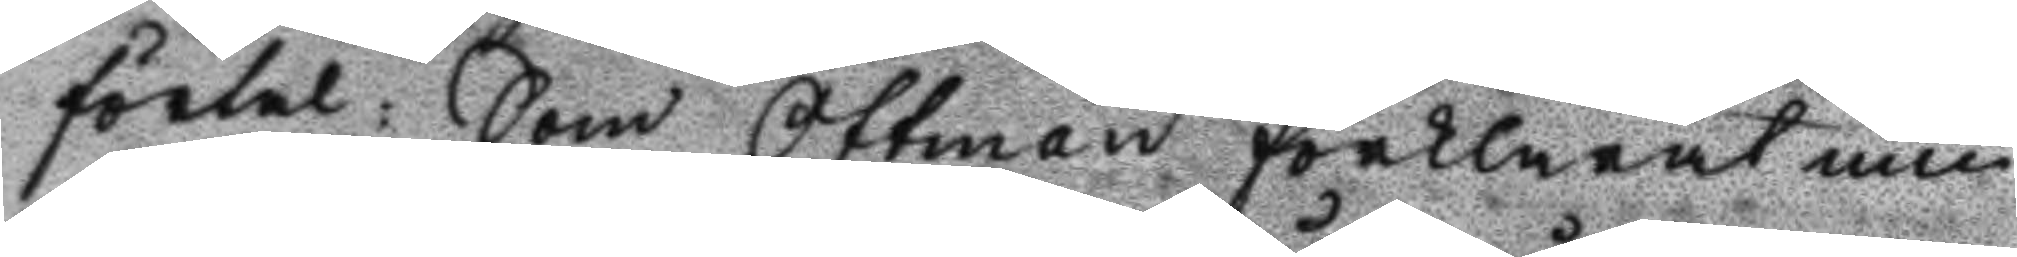förtal: Som Ottman förklarat min
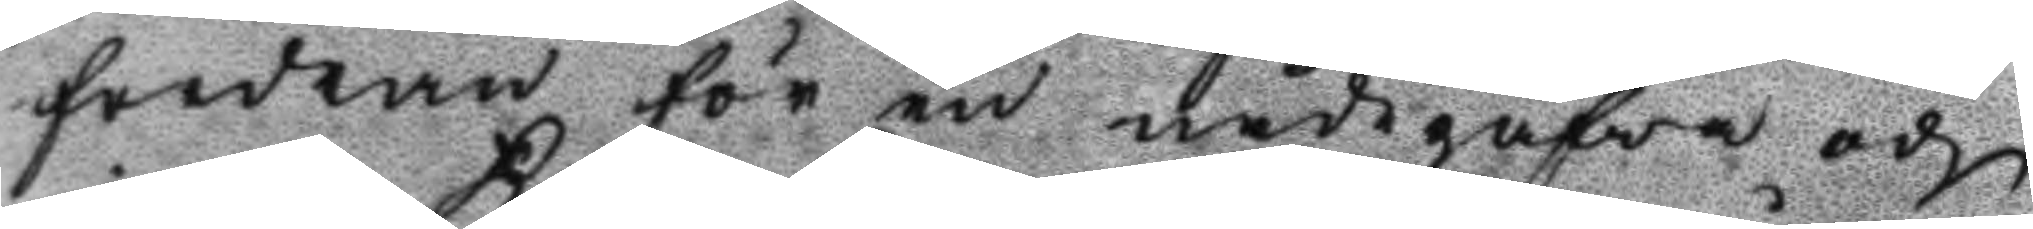forfran för en nådegåfwa och
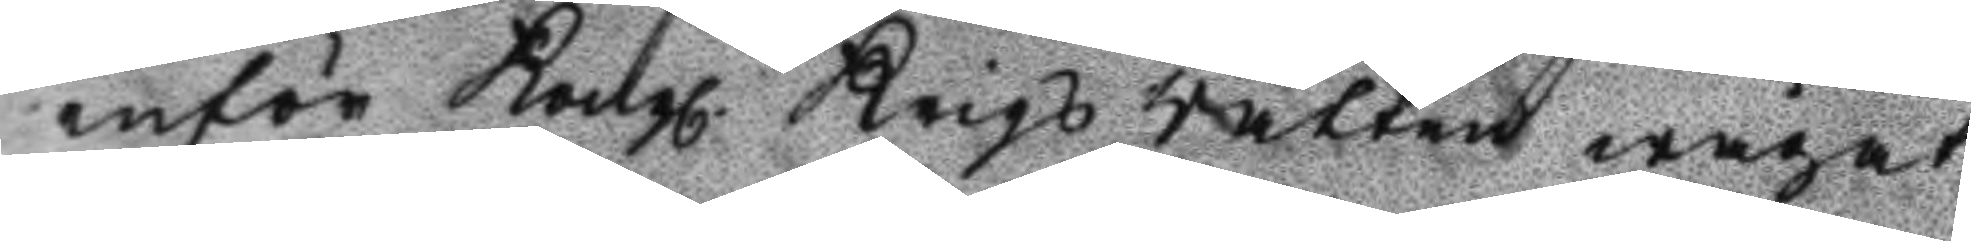inför Kongl. Krigs Rätten wågat
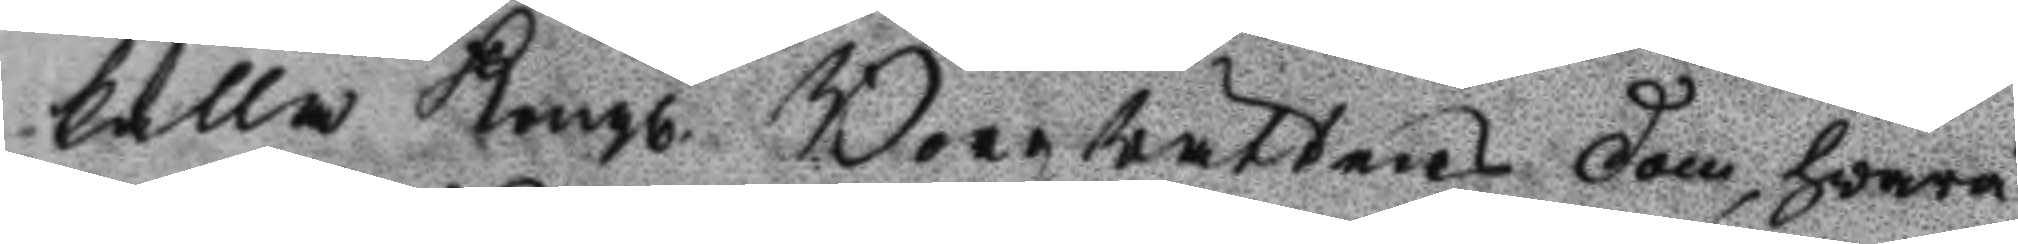kalla Kongl. Borgrättens dom, hvarå 
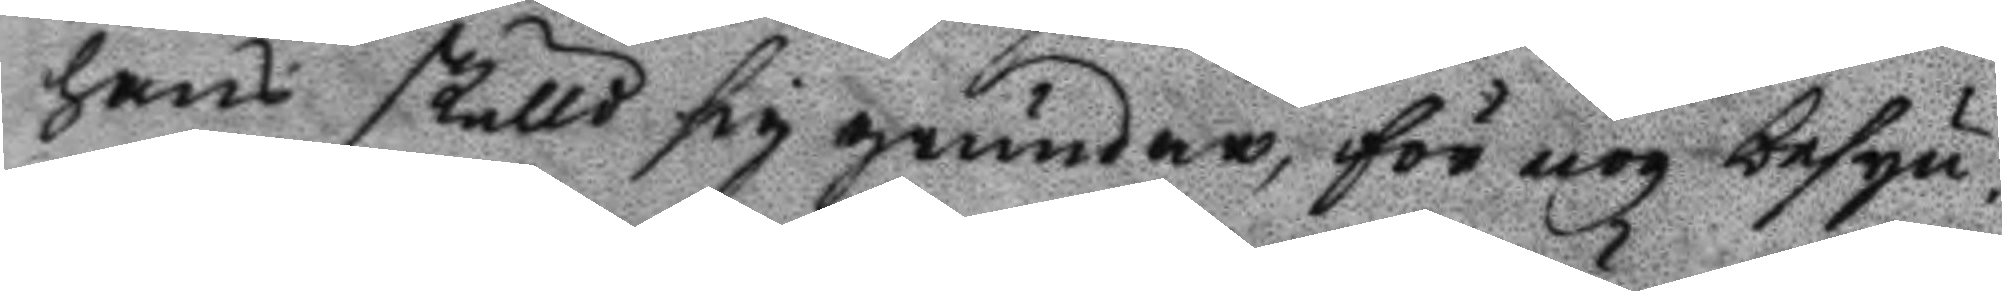hans skulld sig grundar, för nog besyn¬
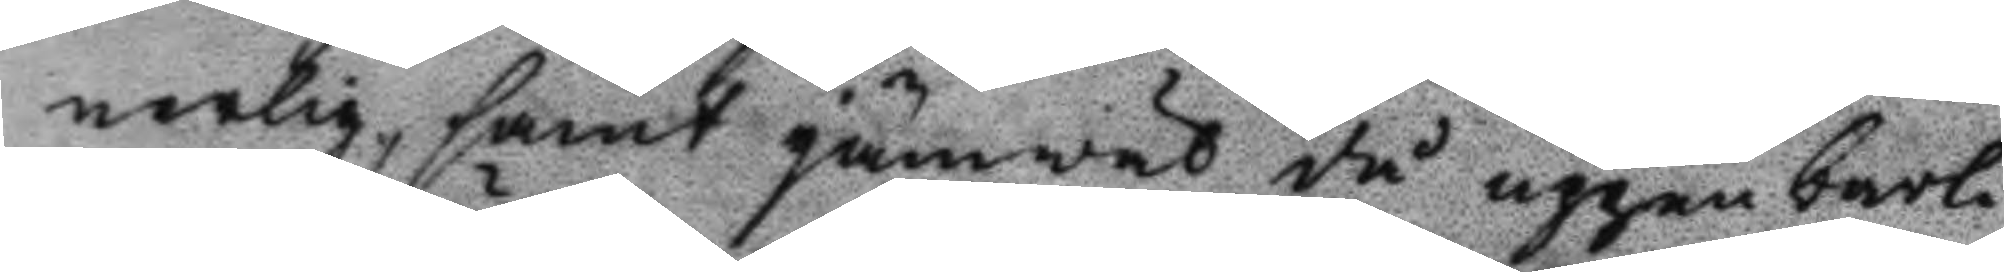nerlig, samt jämwäl då uppenbarli¬
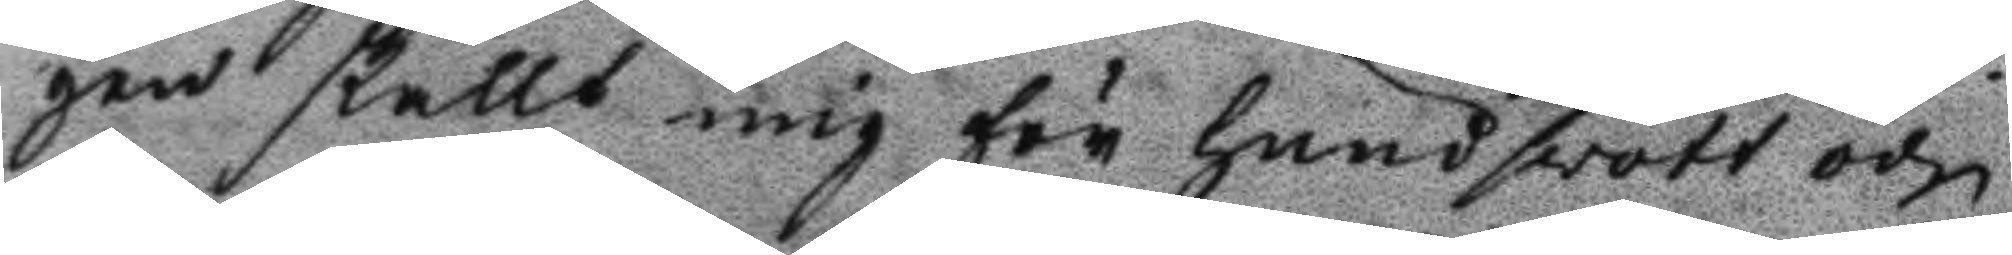gen skällt mig för hundswott och
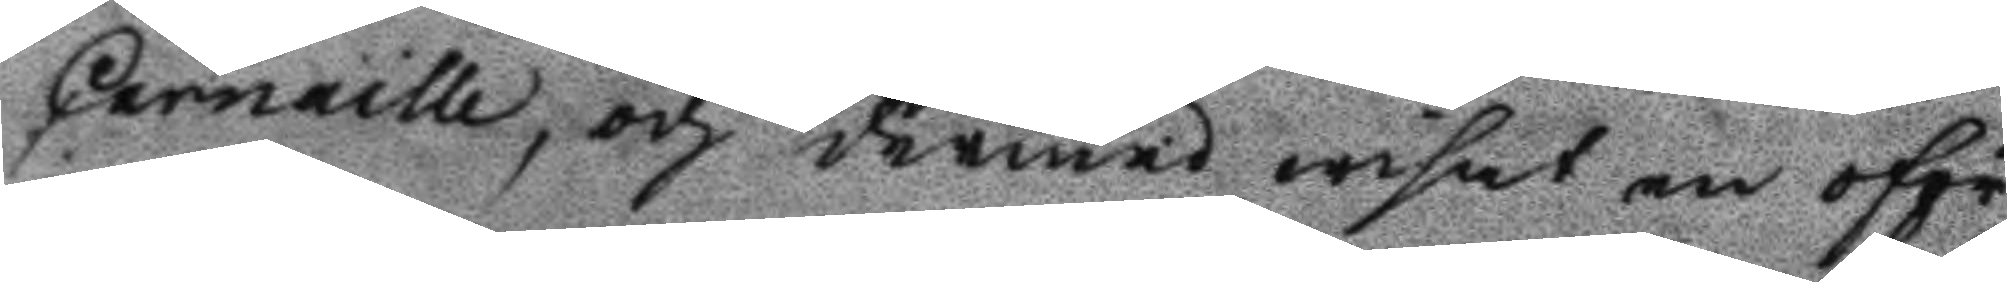Carnaille, och dermed wisat en oför
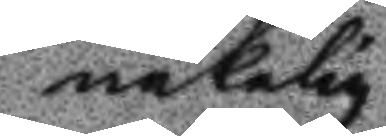nekelig
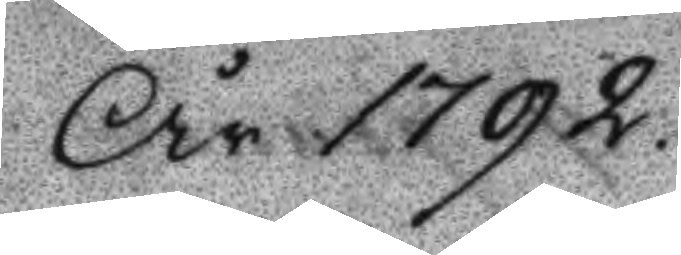År 1792
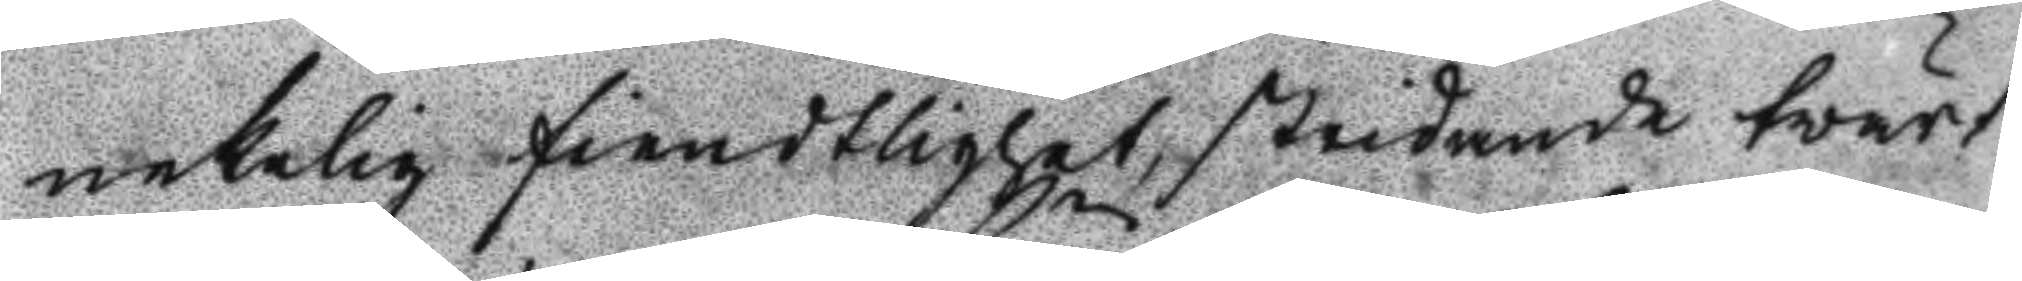nekelig fiendtlighet, stridande tvärt
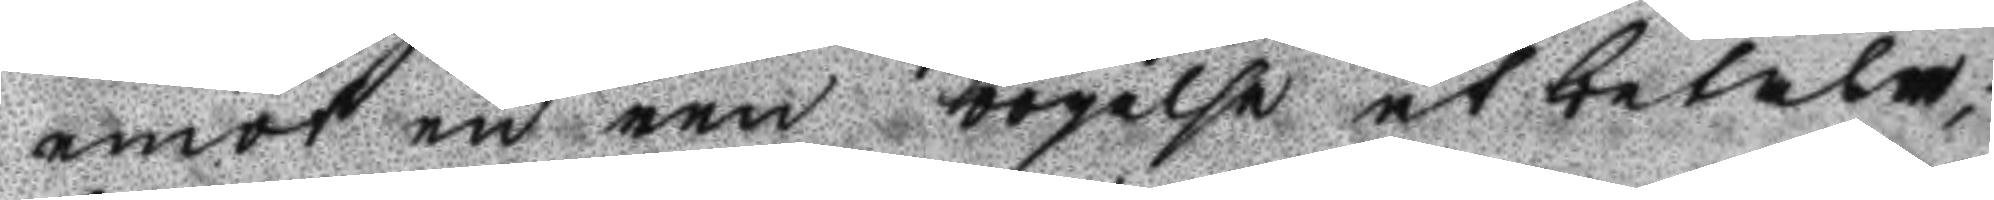emot en ren bögelse at betala;
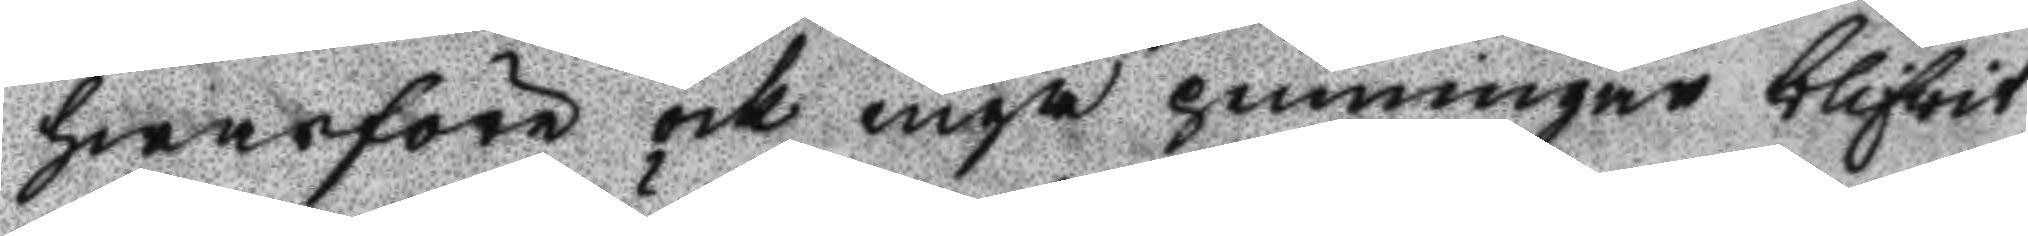hwarföre och inga penningar blifvit
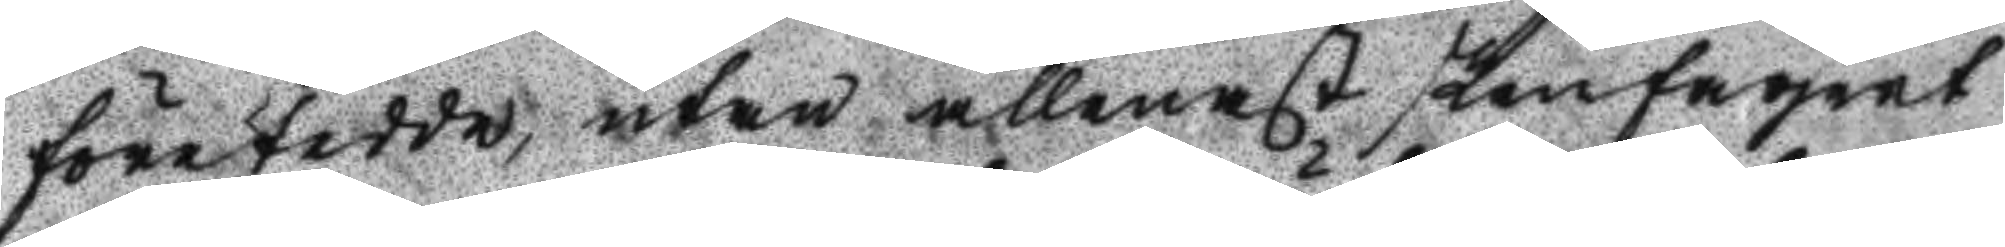företedde, utan allenast skenfagert
